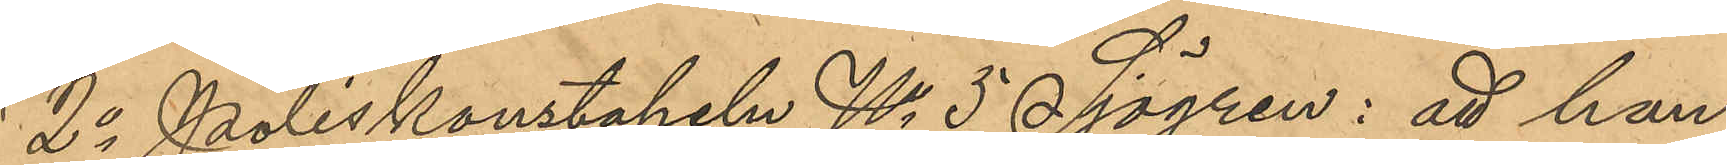2o Poliskonstapeln No 5 Sjögren: att han,
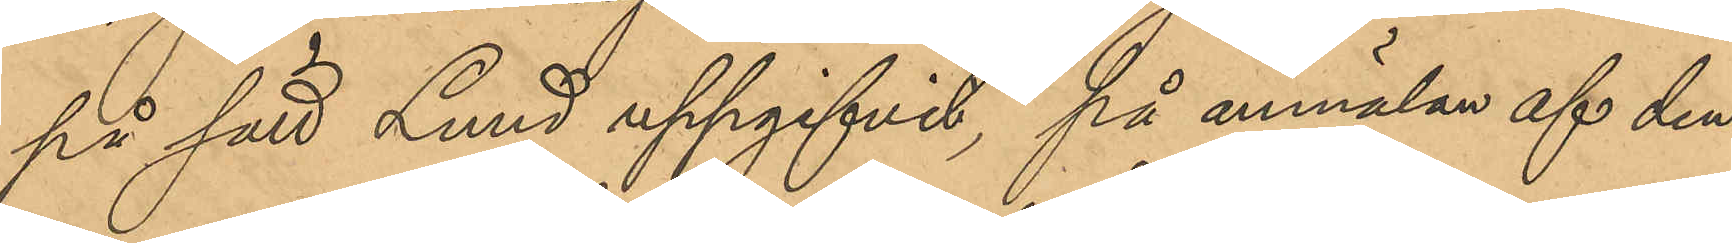på sätt Lund uppgifvit, på anmälan af den¬
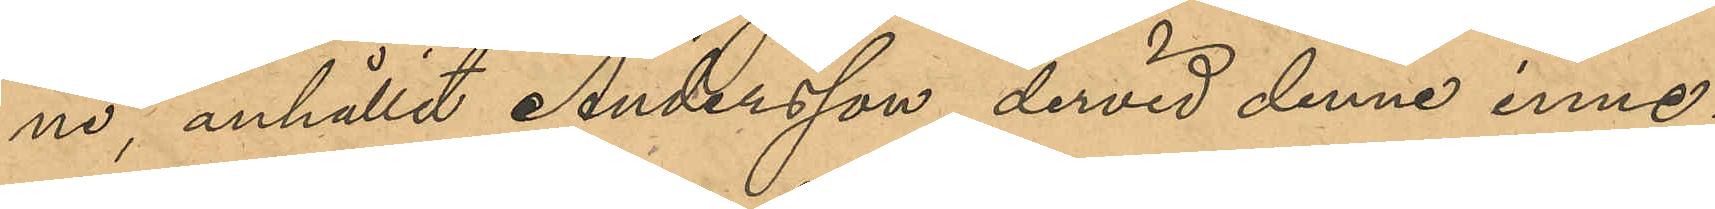ne, anhållit Andersson, dervid denne inne¬
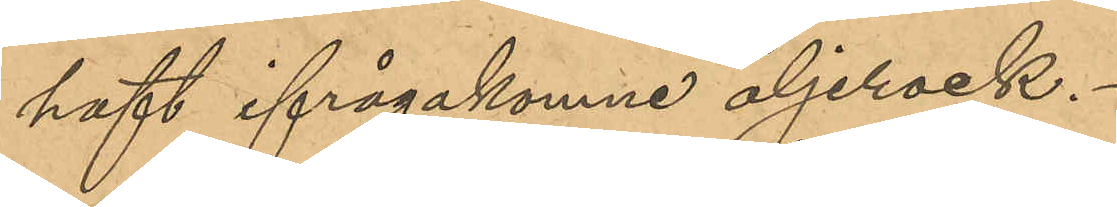haft ifrågakomne oljerock.
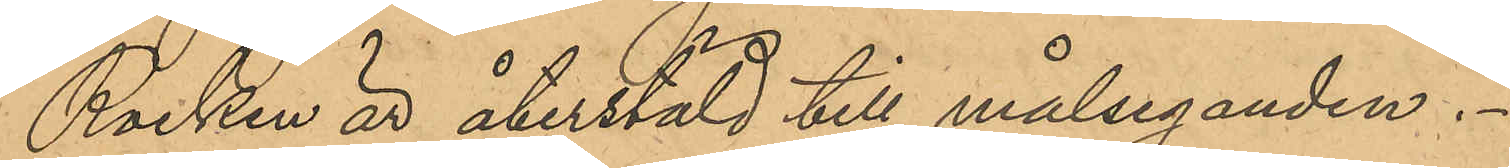Rocken är återstäld till målseganden.
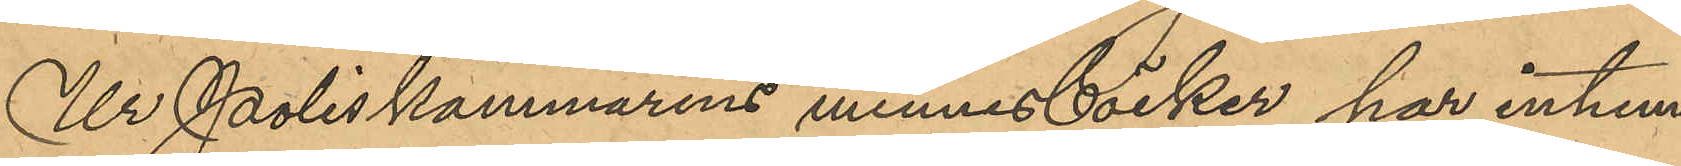Ur Poliskammarens minnesböcker har inhem¬
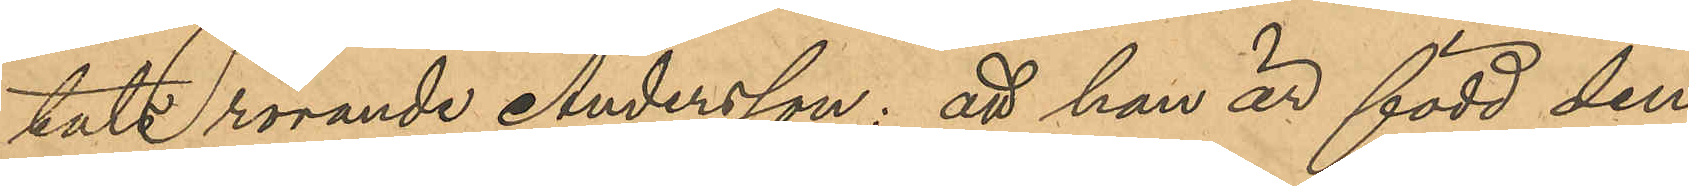tats rörande Andersson: att han är född den
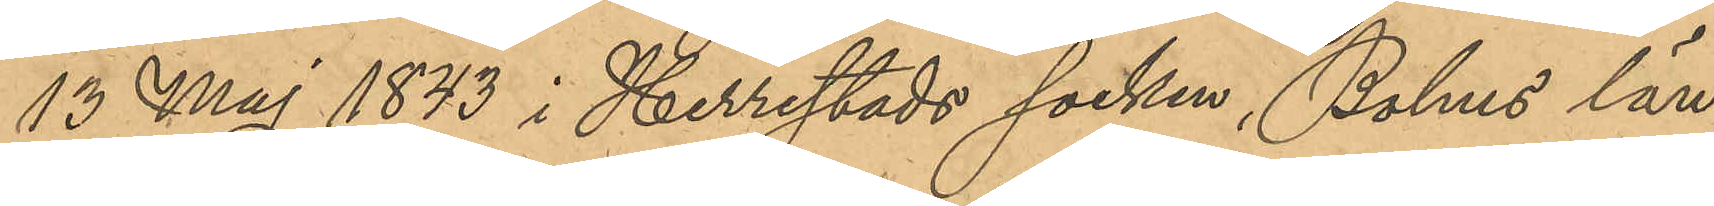13 Maj 1843 i Herrestads socken, Bohus län;
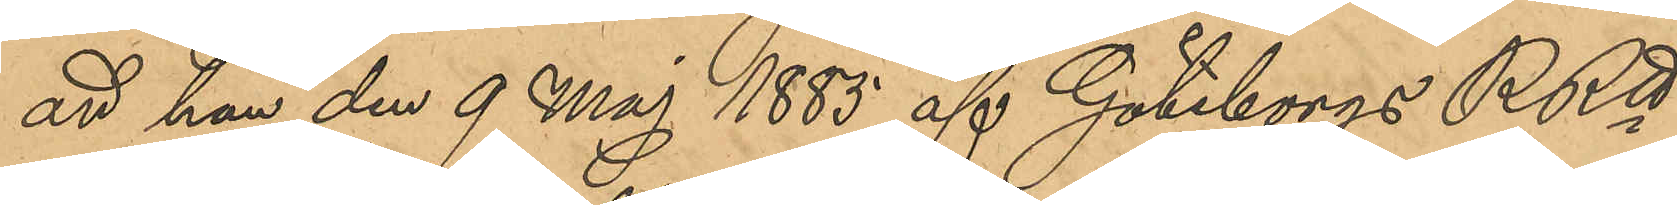att han den 9 Maj 1883 af Göteborgs RRtt
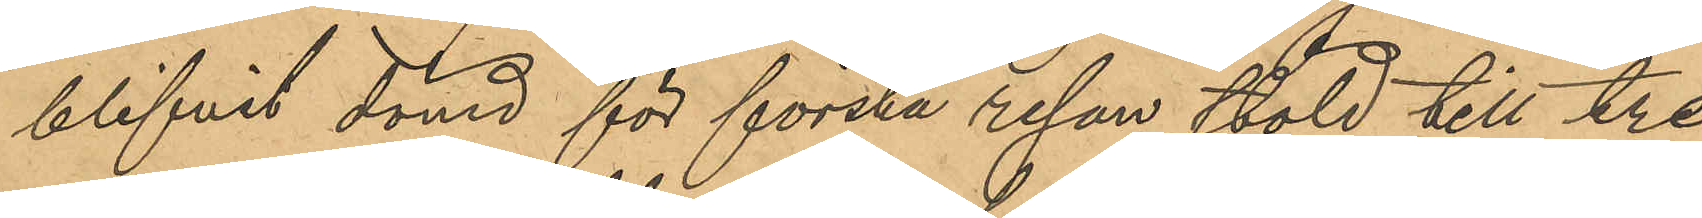blifvit dömd för första resan stöld till tre
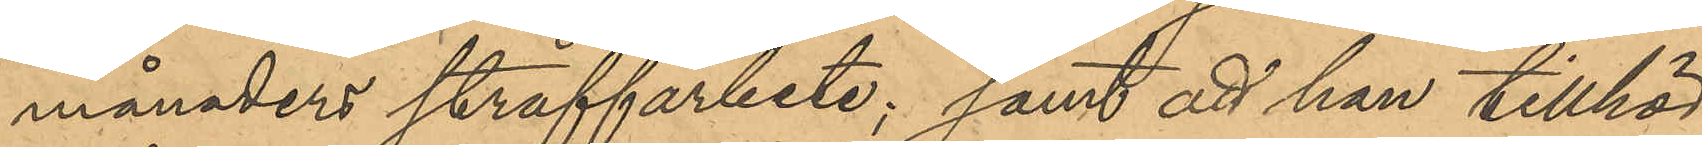månaders straffarbete; samt att han tillhör
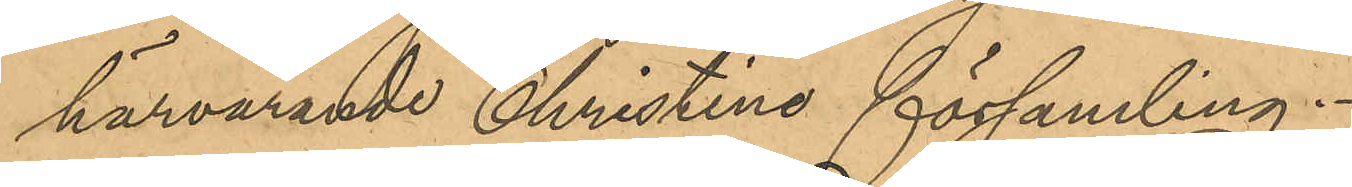härvarande Christine församling.
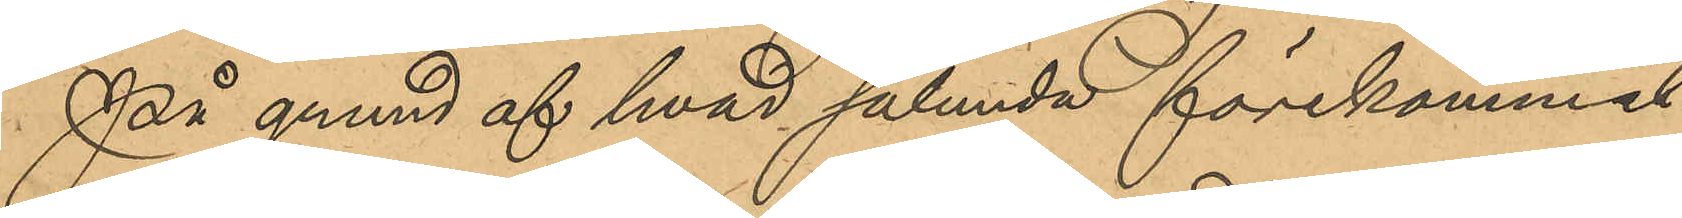På grund af hvad sålunda förekommit
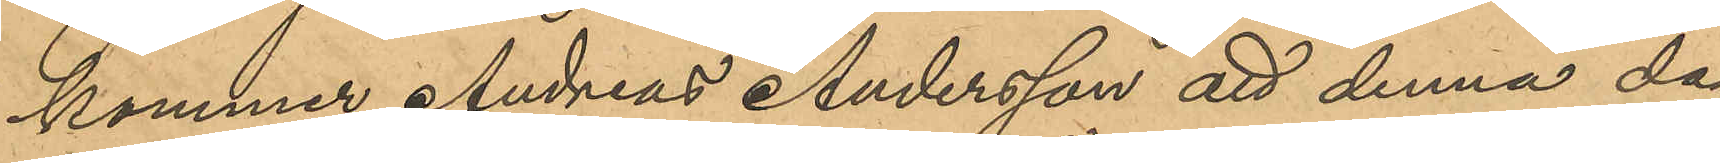kommer Andreas Andersson att denna dag
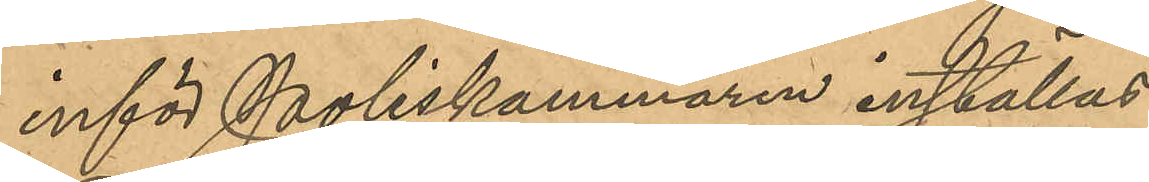inför Poliskammaren inställas.
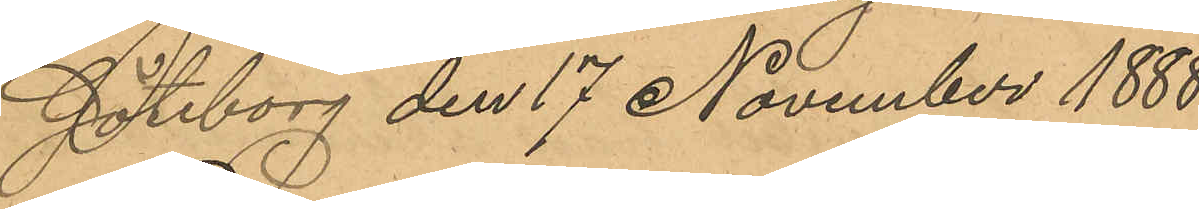Göteborg den 17 November 1888.
